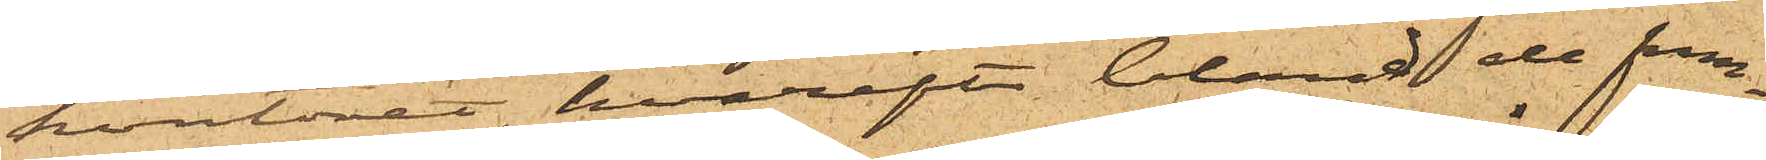kontoret, hvarefter bland de fram¬
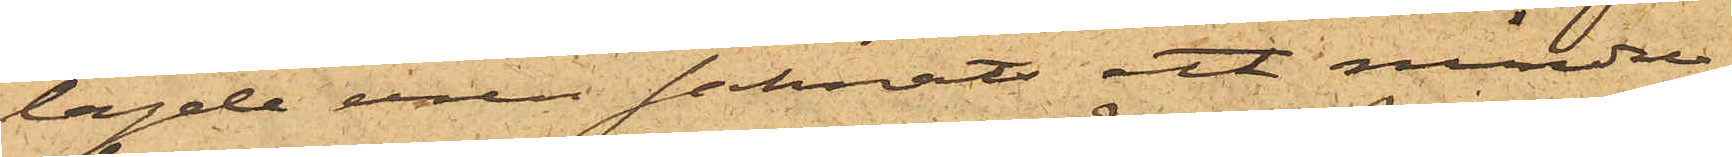lagde uren saknats ett mindre
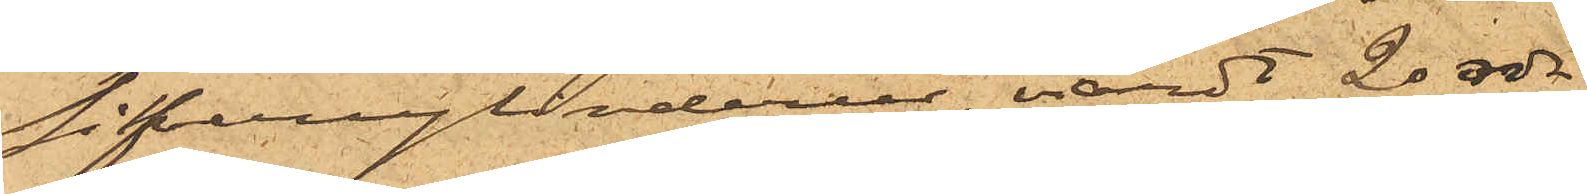silfvercylinderur, värdt 20 rdr.
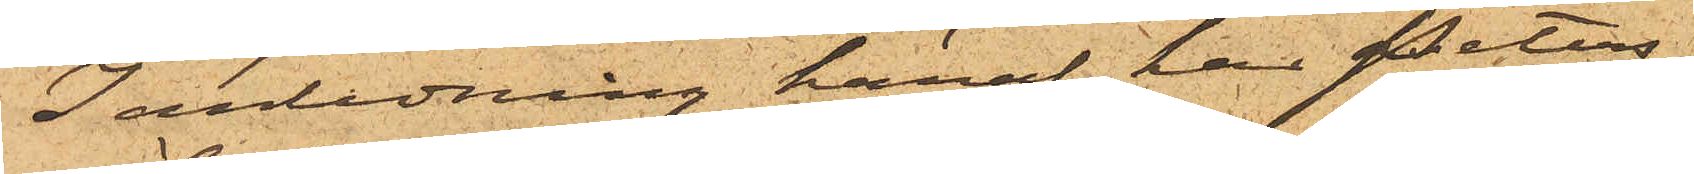I anledning häraf har Peters¬
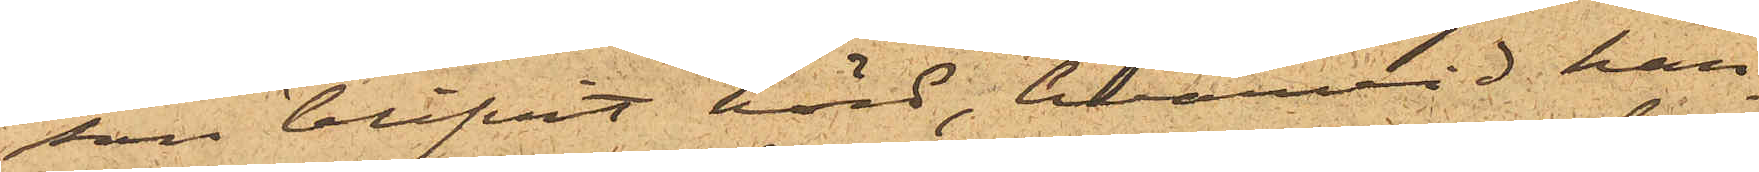son blifvit hörd, hvarvid han
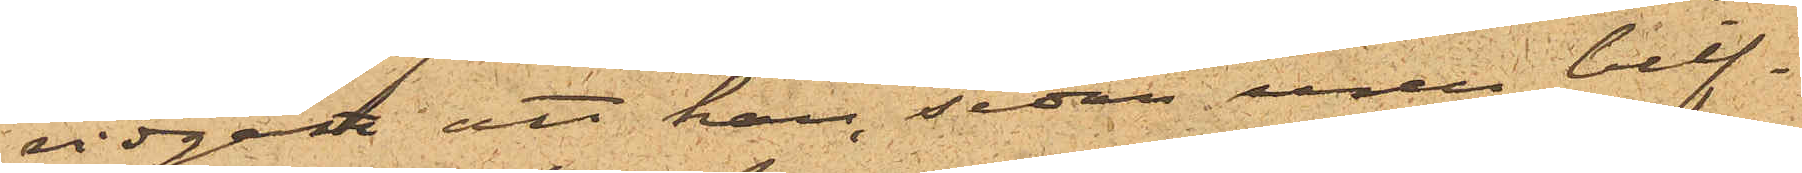vidgått att han sedan uren blif¬
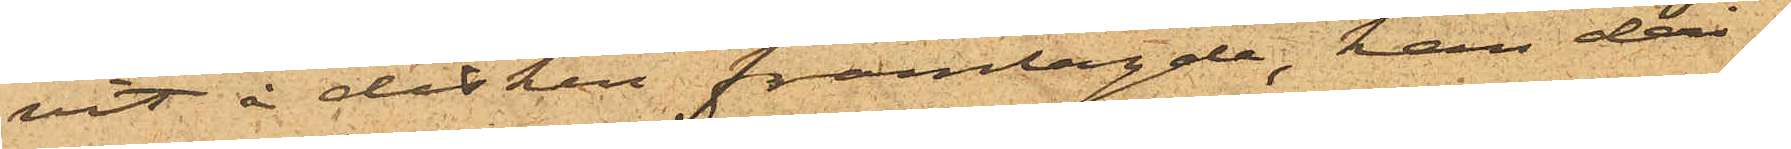vit å disken framlagde, han deri¬
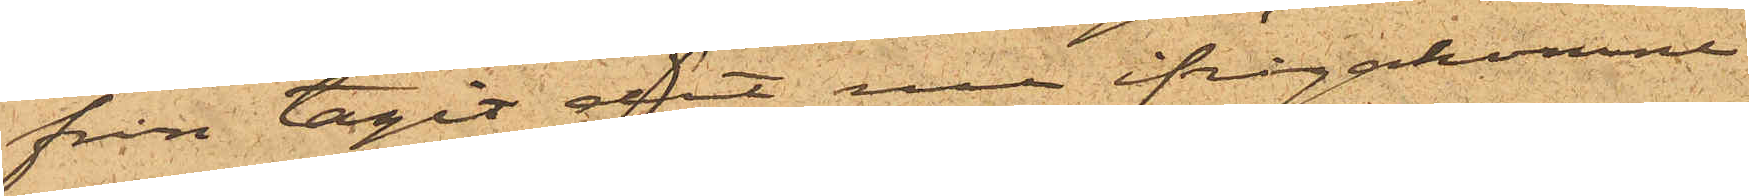från tagit det nu ifrågakomne
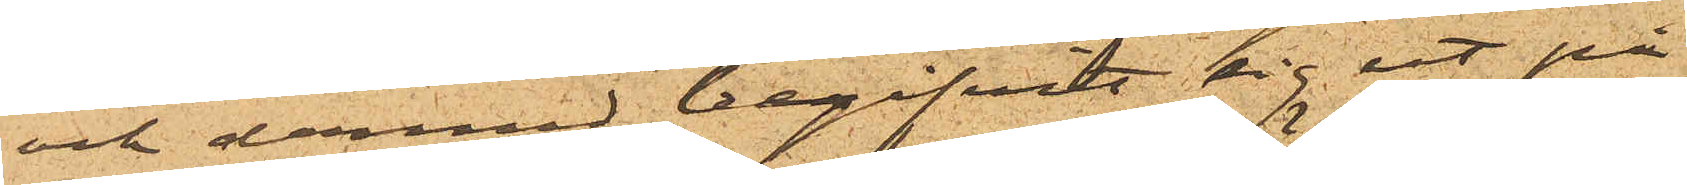och dermed begifvit sig ut på
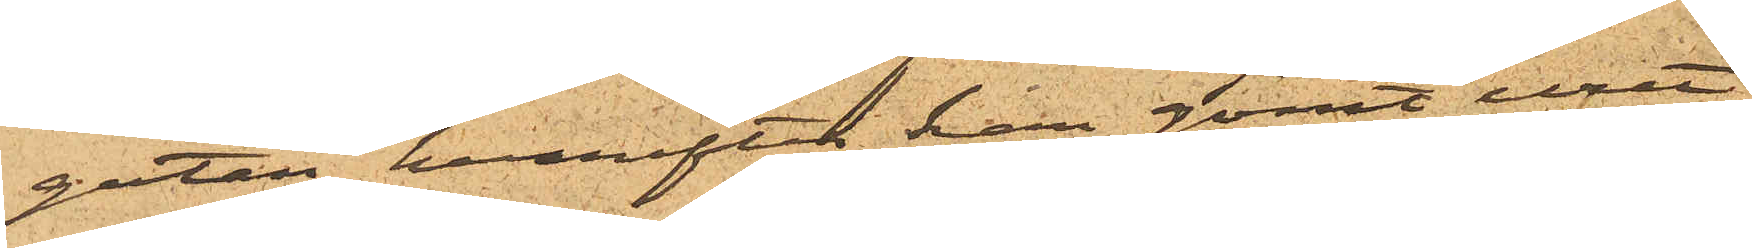gatan, hvarefter han gömt uret
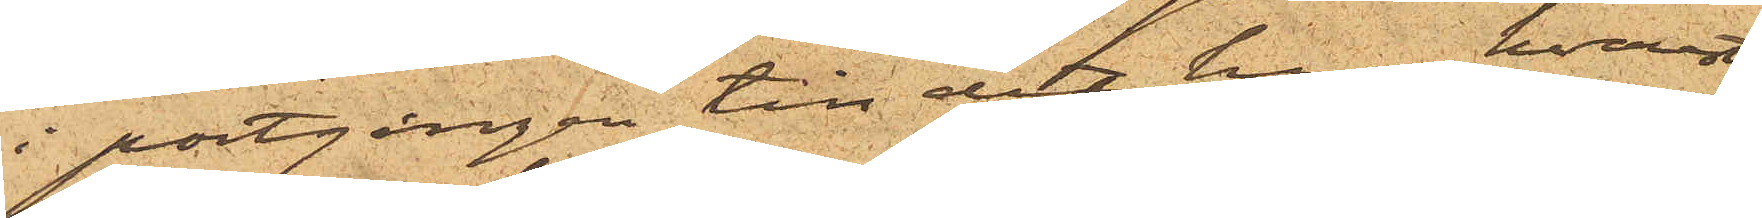i portgången till det hus hvarest
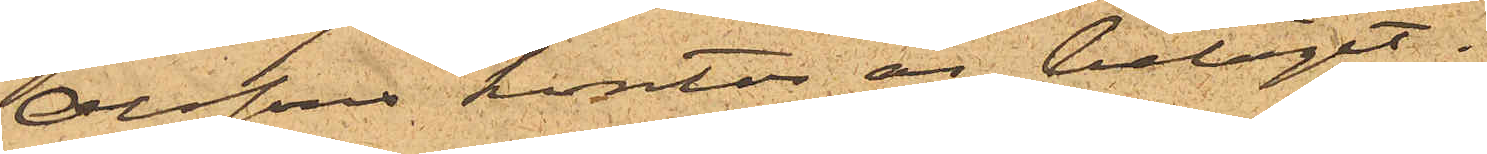Olssons kontor är beläget.
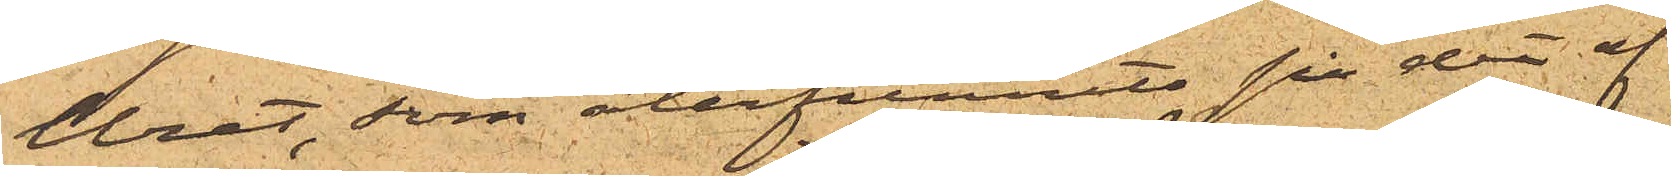Uret, som återfunnits på det af
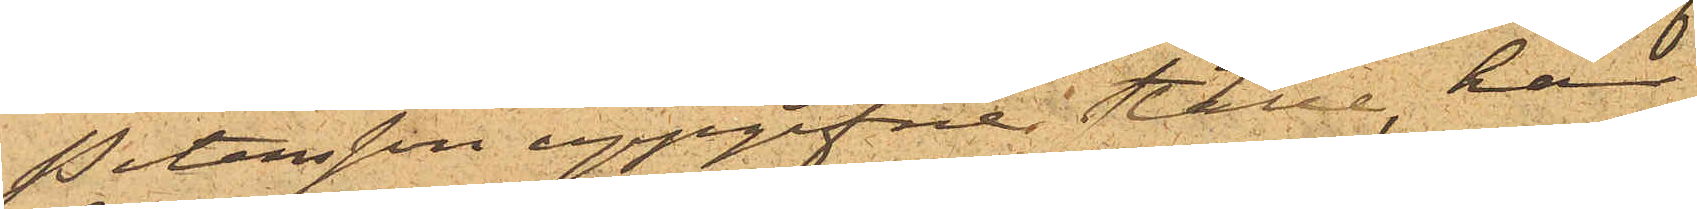Petersson uppgifne ställe, har
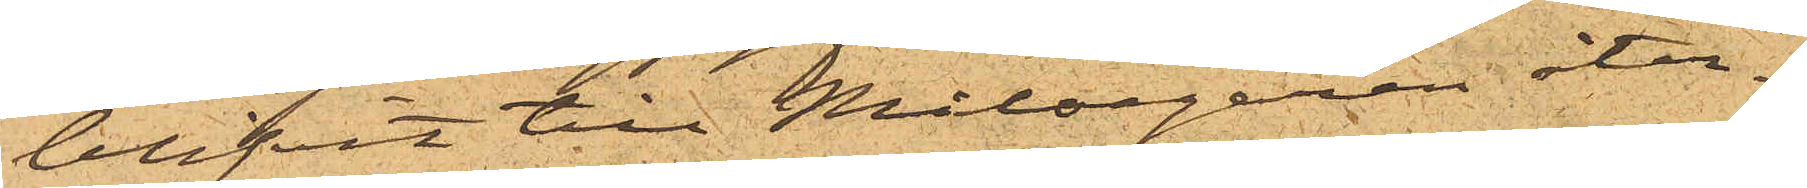blifvit till Målsegaren åter¬
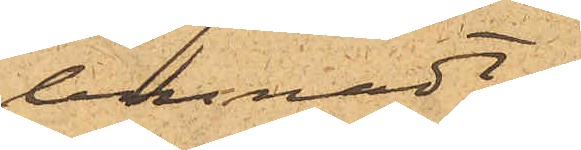lemnadt.
